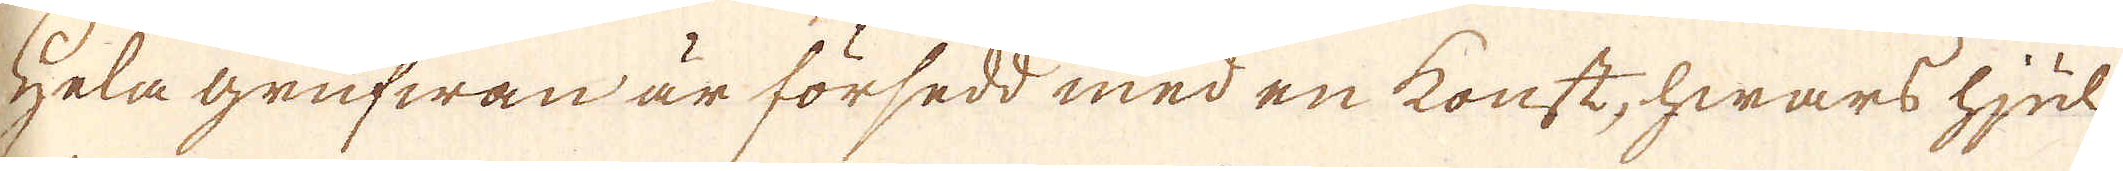Hela grufwan är försedd med en konst, hwars hjul
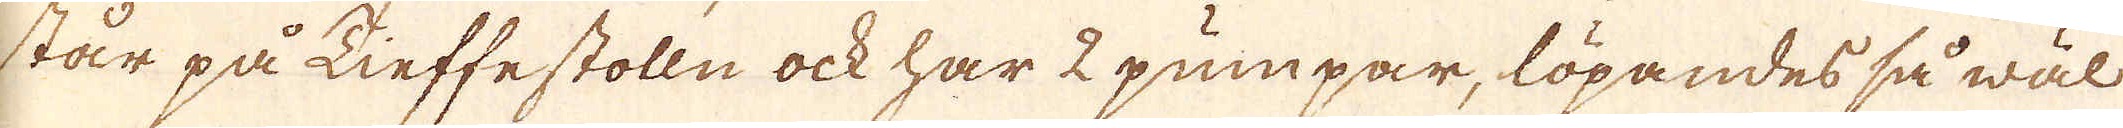står på Tieffestolln ock har 2 pumpar, löpandes så wäl
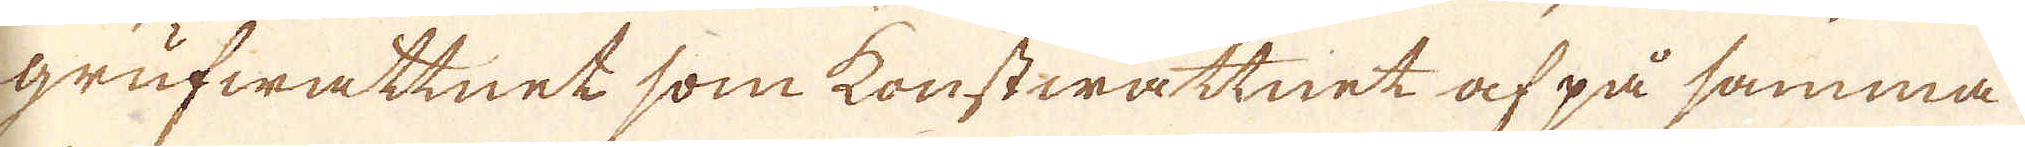grufwattnet som konstwattnet af på samma
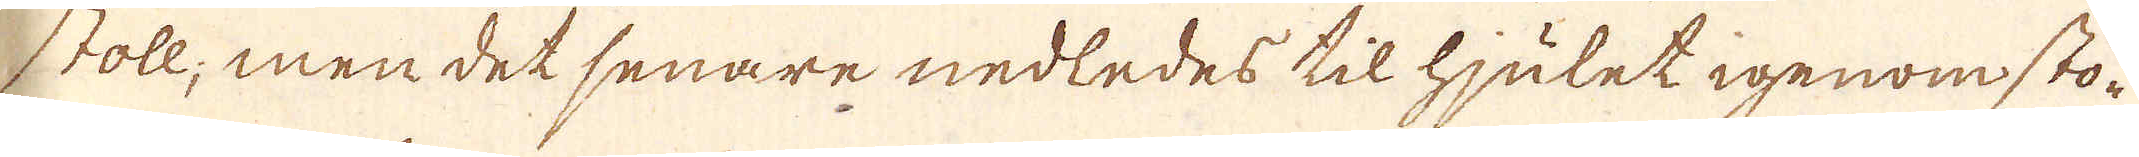stoll; men det senare nedledes til hjulet igenom sto-
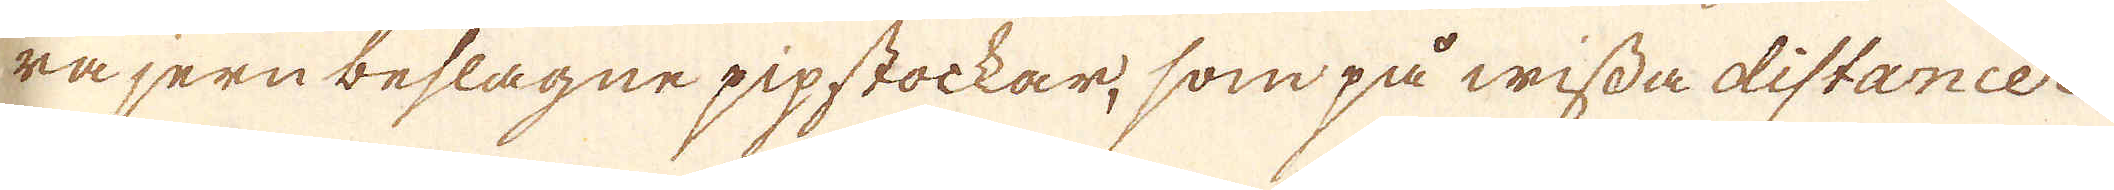ra jern beslagne pipstockar, som på wissa distancer
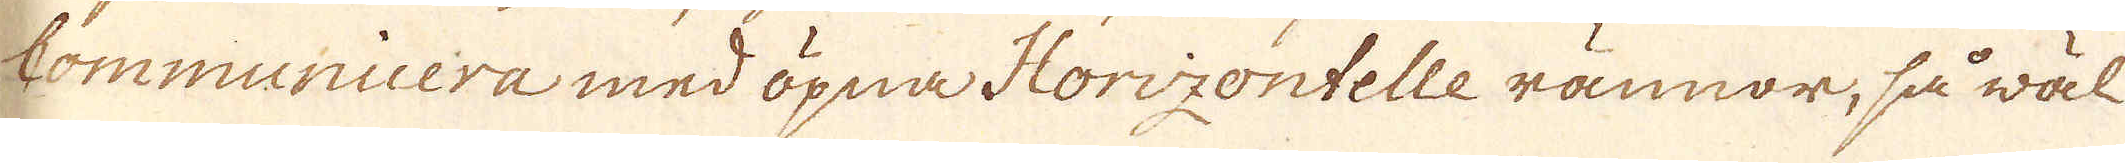Communicera med öpna Horizontelle rännor, så wäl
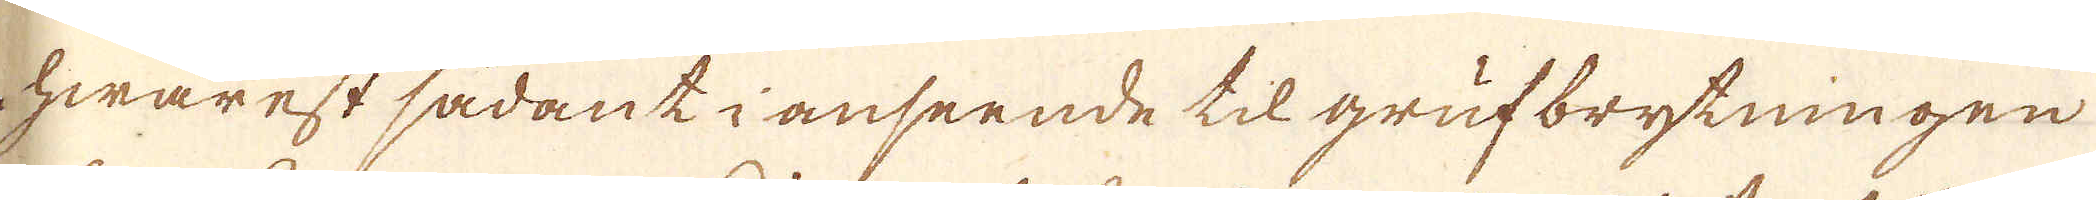hwarest sådant i anseende til grufbrytningen
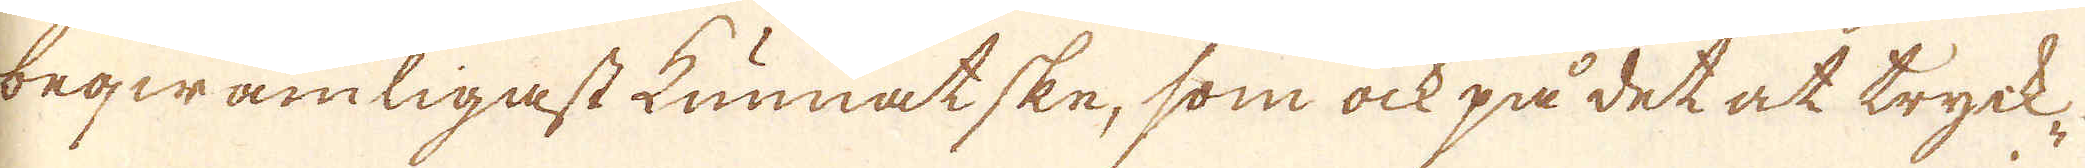beqwämligast kunnat ske, som ock på det at tryck-
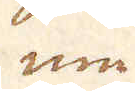en
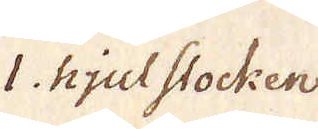1 hjulstocken.
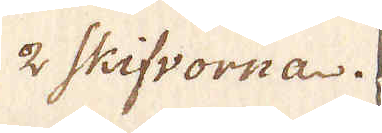2 Skifvorna.
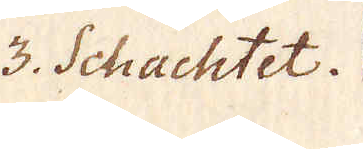3. Schachtet.
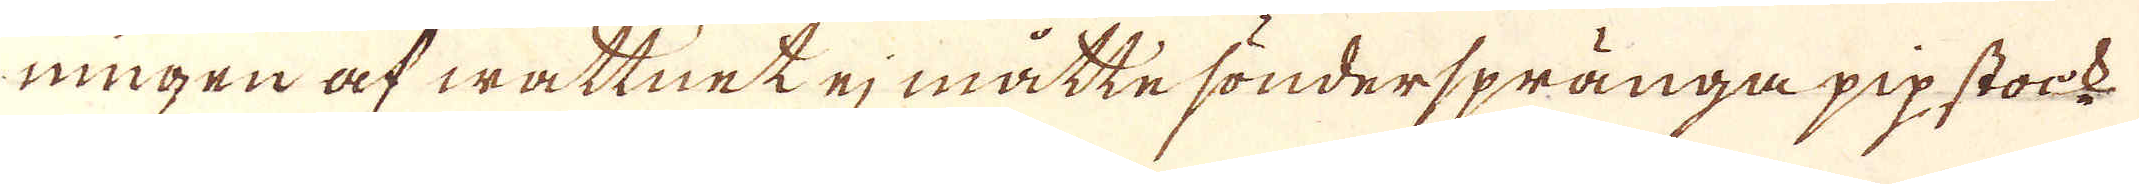ningen af wattnet ej måtte sönderspränga pip stock-
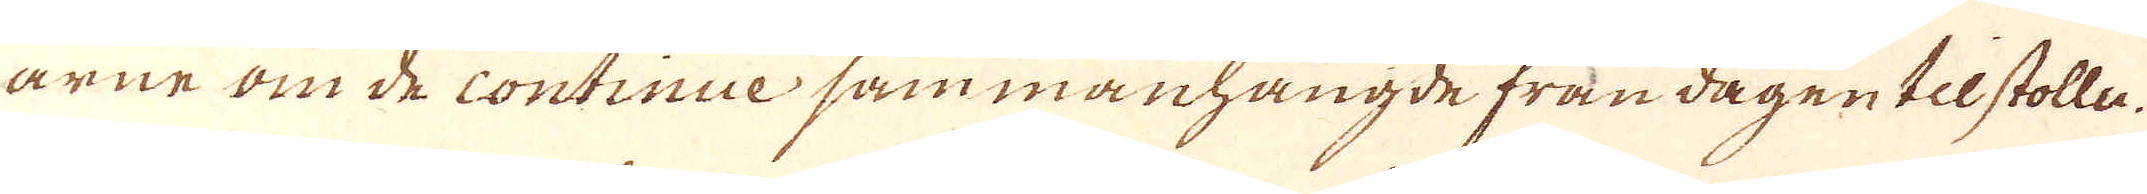arne om de continue sammanhångde från dagen til stolle.
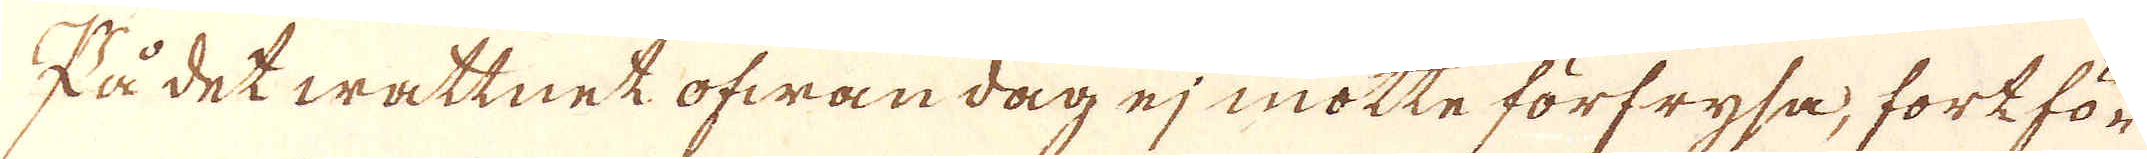På det wattnet ofwan dag ej motte förfrysa, fortfö-
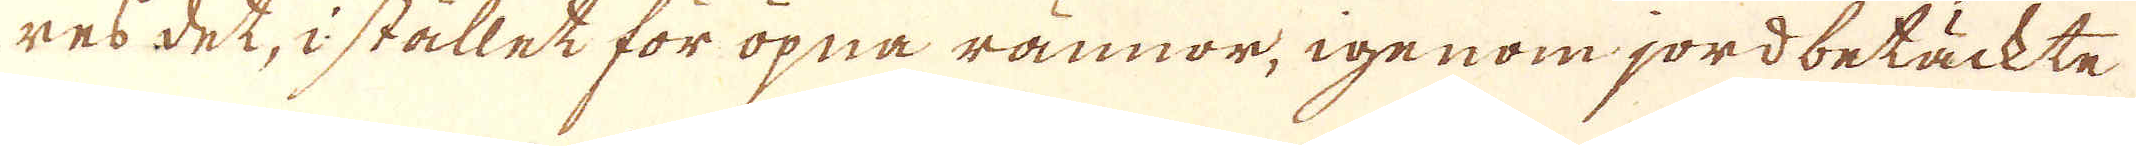res det, i stället för öpna rännor, igenom jordbetäckte
